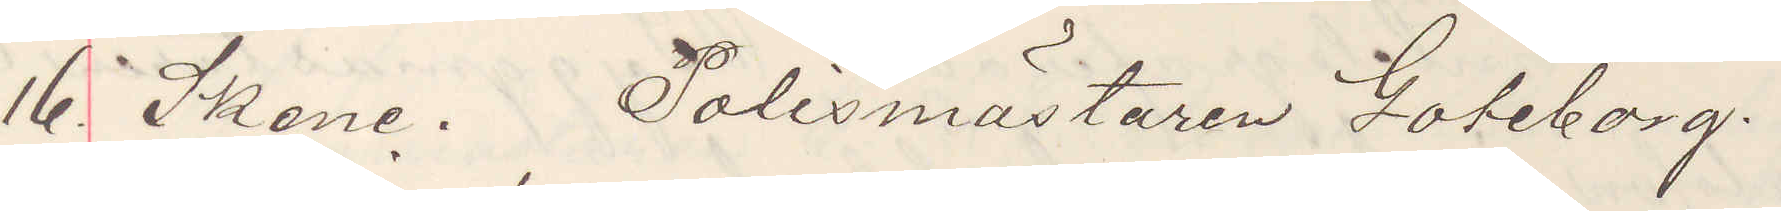16 Skene. Polismästaren Göteborg.
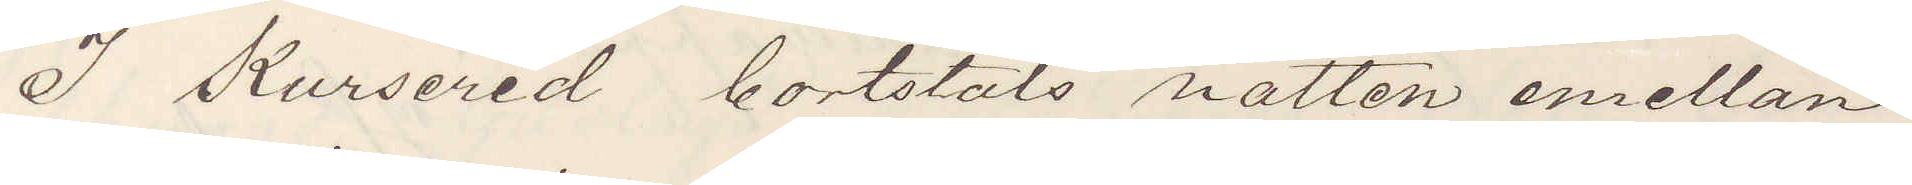I Kursered bortstals natten emellan
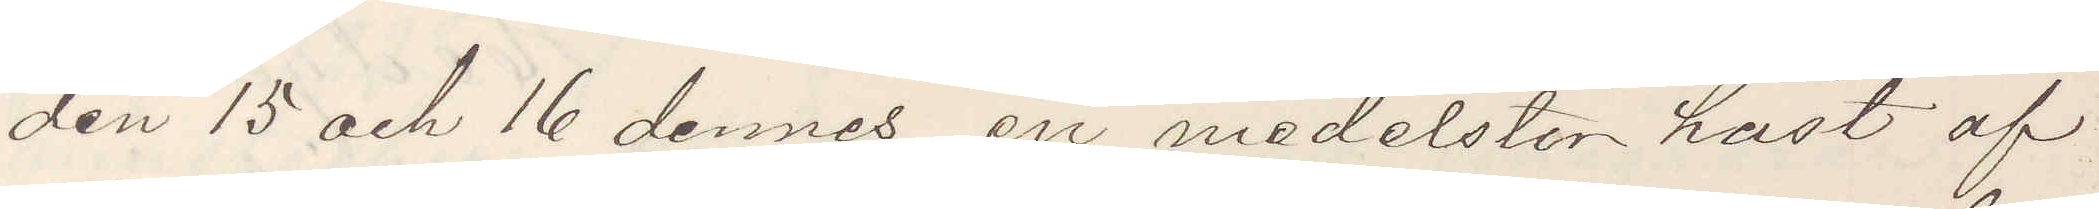den 15 och 16 dennes en medelstor häst af¬
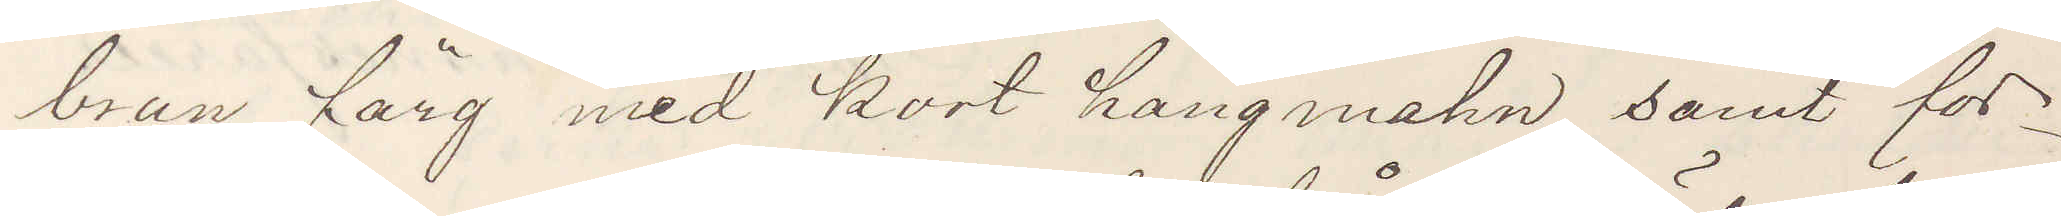brun färg med kort hängmahn samt för¬
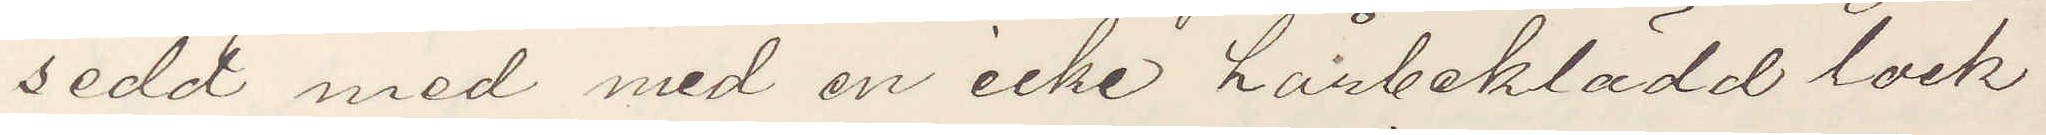sedd med med en icke hårbeklädd lock
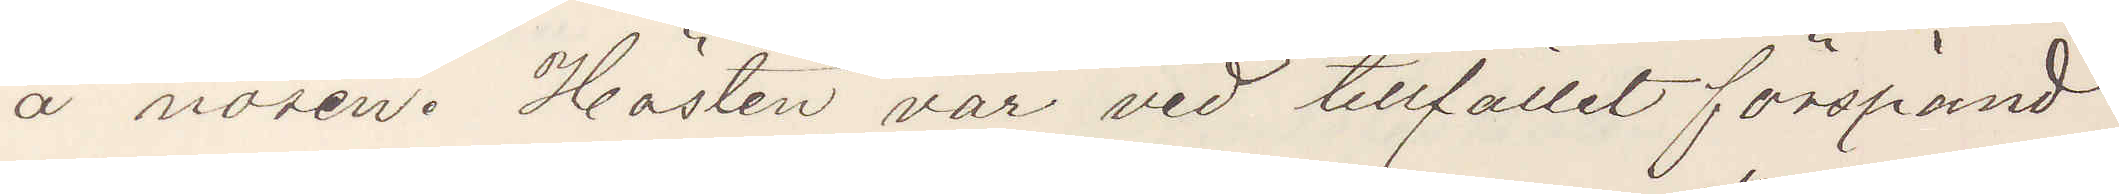å nosen. Hästen var vid tillfället förspänd
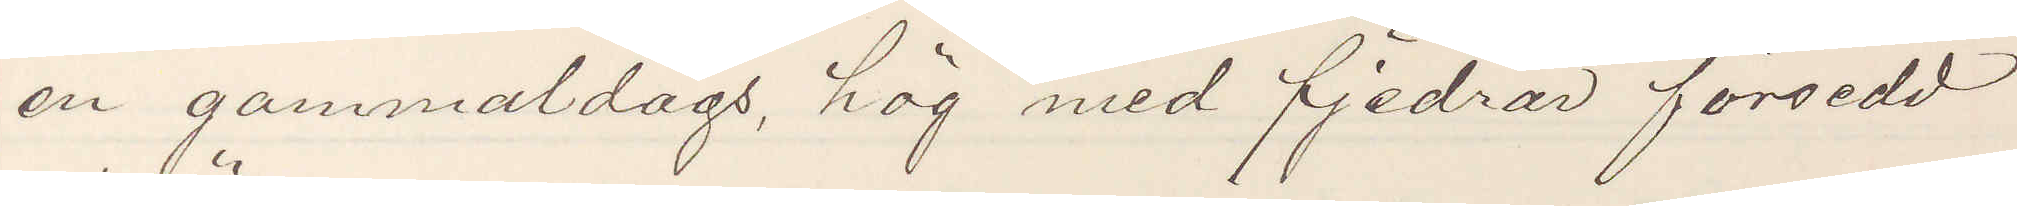en gammaldags, hög med fjedrar försedd
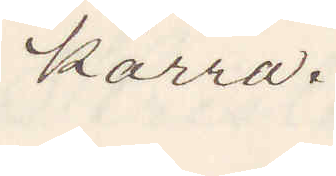kärra.
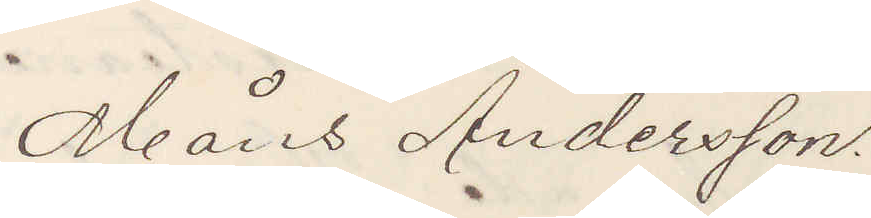Måns Andersson.
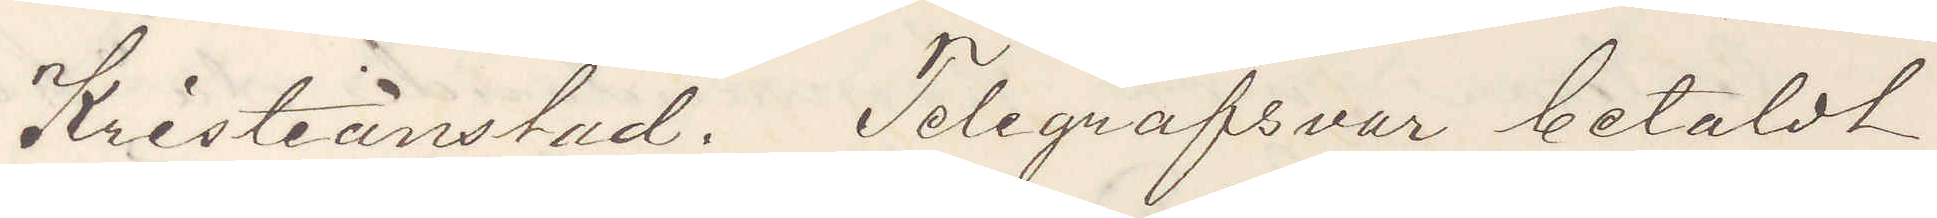Kristianstad. Telegrafsvar betaldt
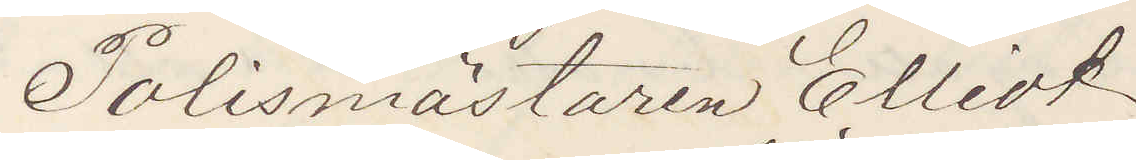Polismästaren Elliot
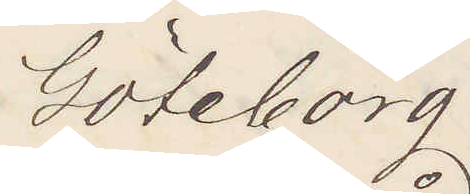Göteborg
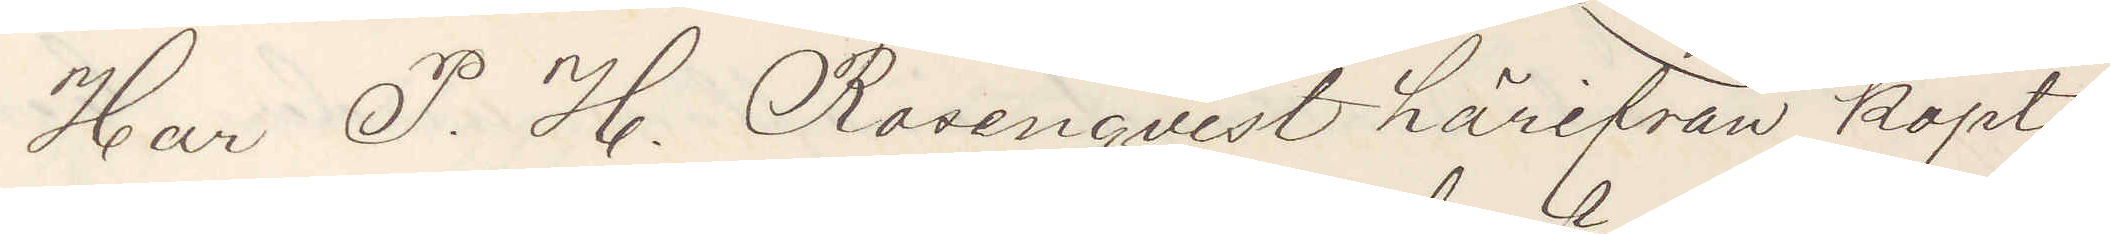Har P. H. Rosenqvist härifrån köpt
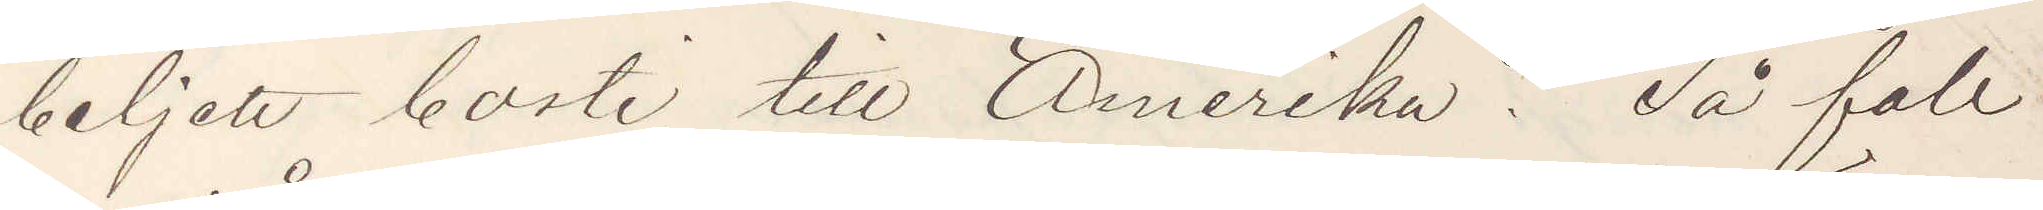beljett borti till Amerika? Så fall
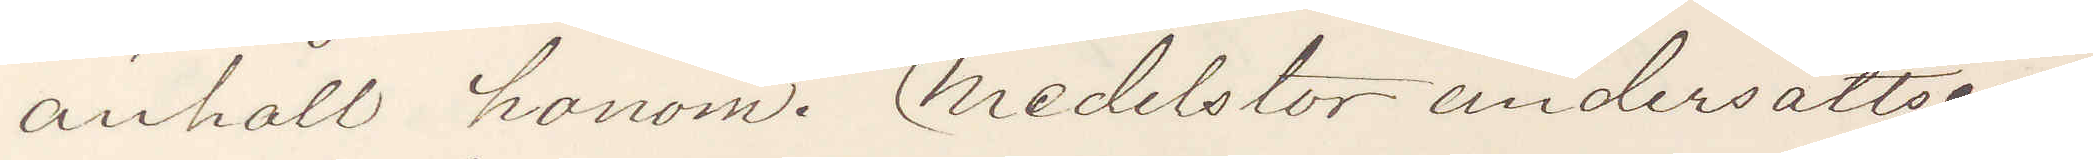anhåll honom. Medelstor undersättsig,
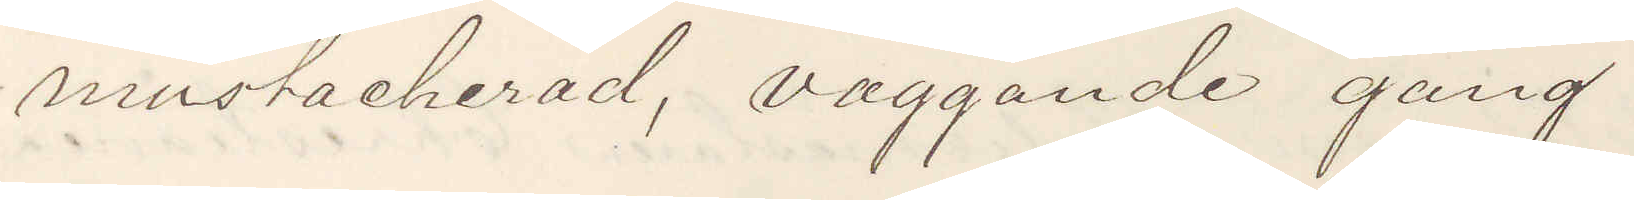mustacherad, vaggande gång
